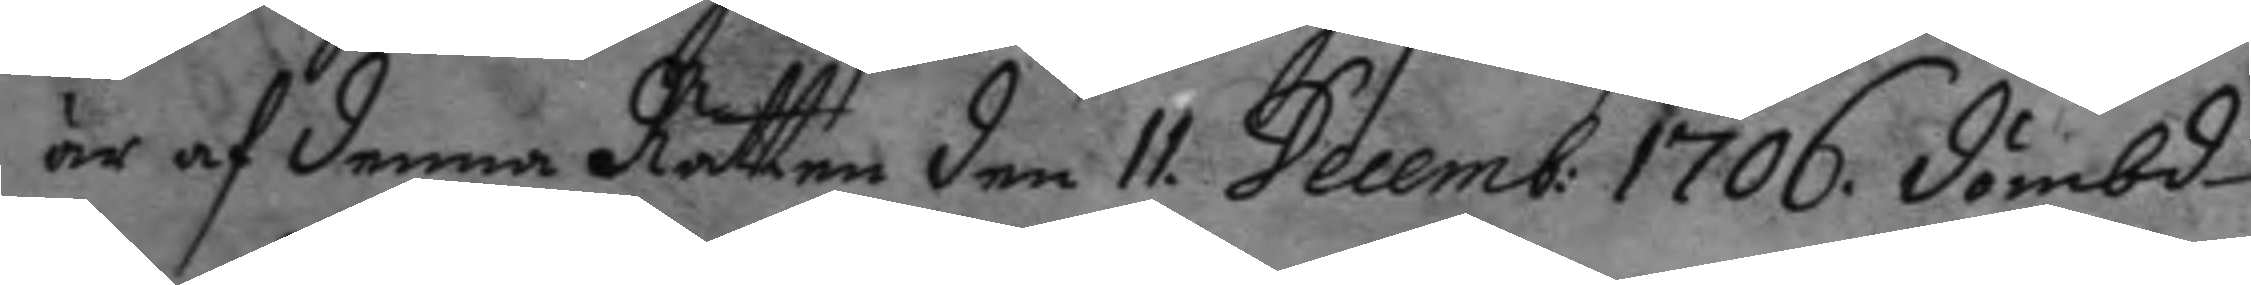är af denna Rätten den 11. Decemb: 1706. dömbd
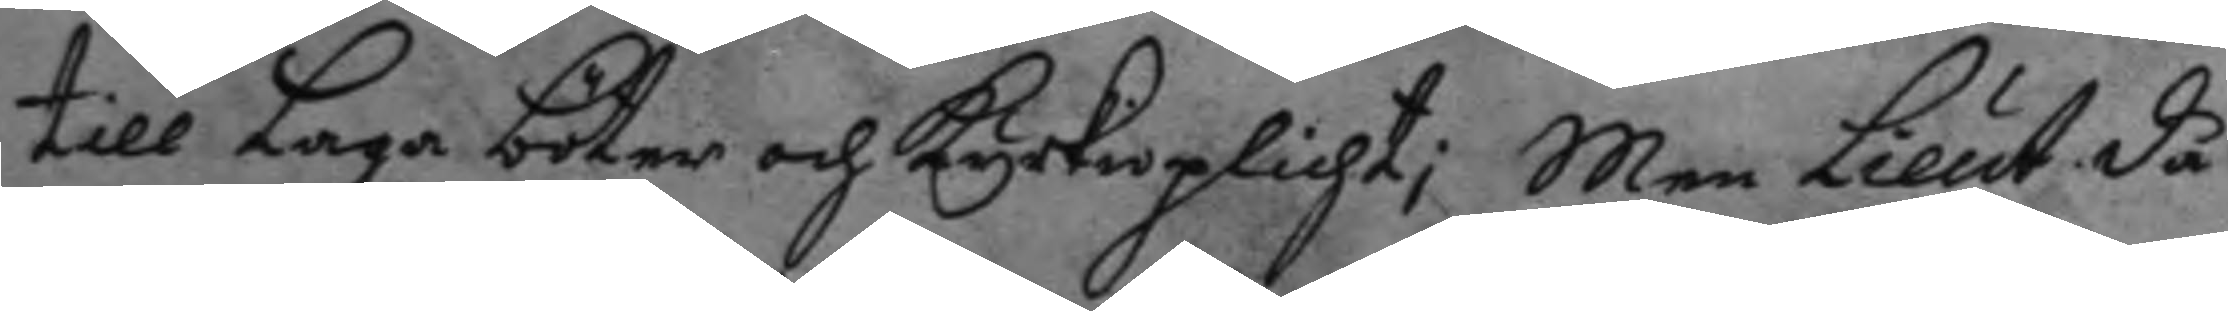till Laga böter och kyrkioplichy; Men Lieut. då
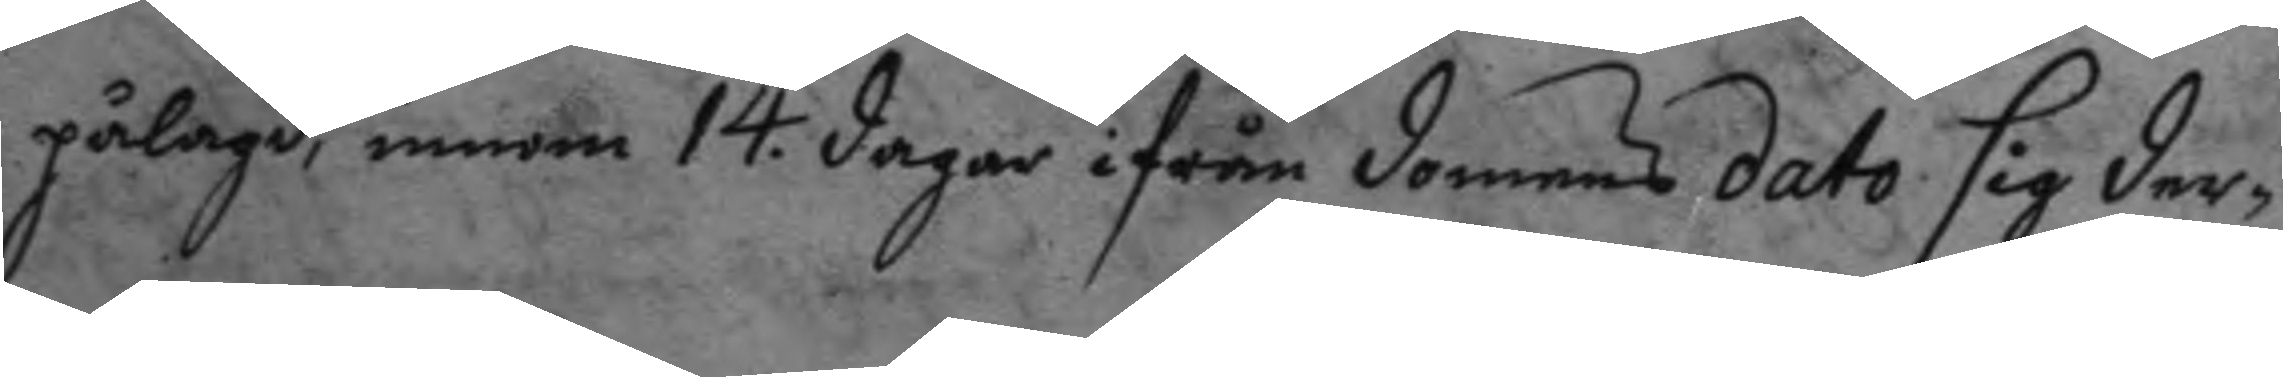pålagd, inom 14. dagar ifrån domens dato sig der¬
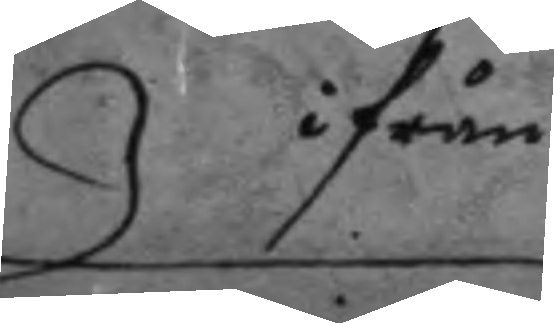ifrån
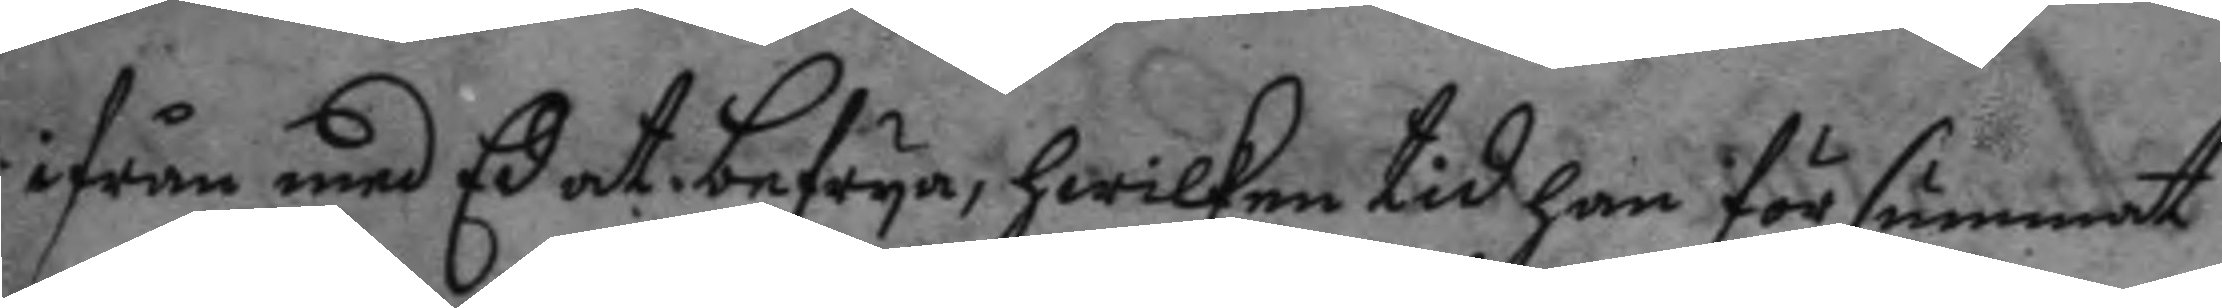ifrån med Ed at befrya, hwilken tid han försummat
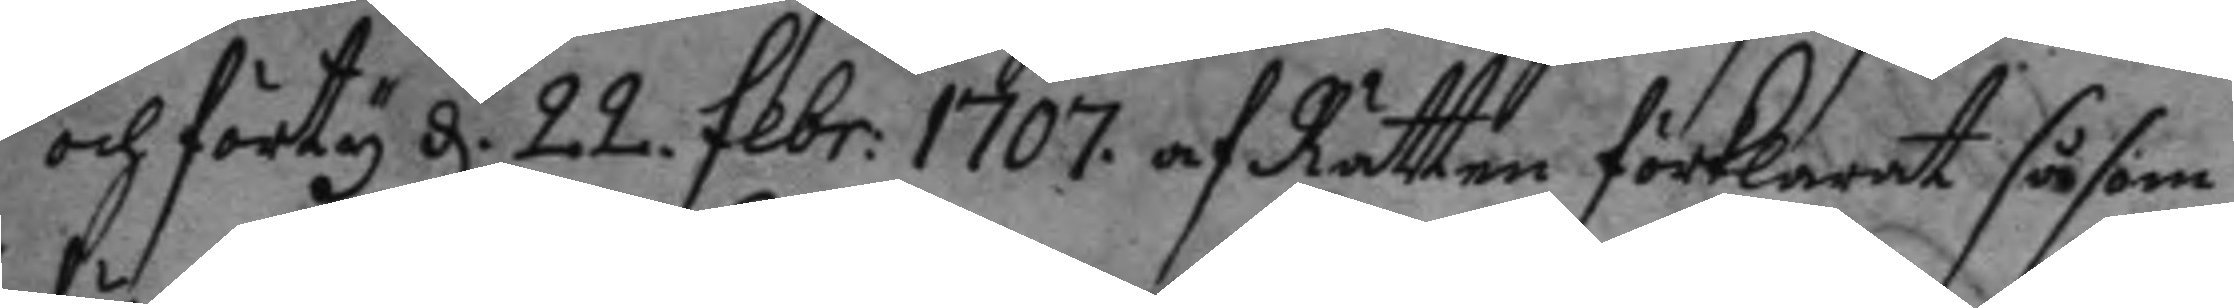och förty d. 22. febr: 1707 af Rätten förklarat såsom
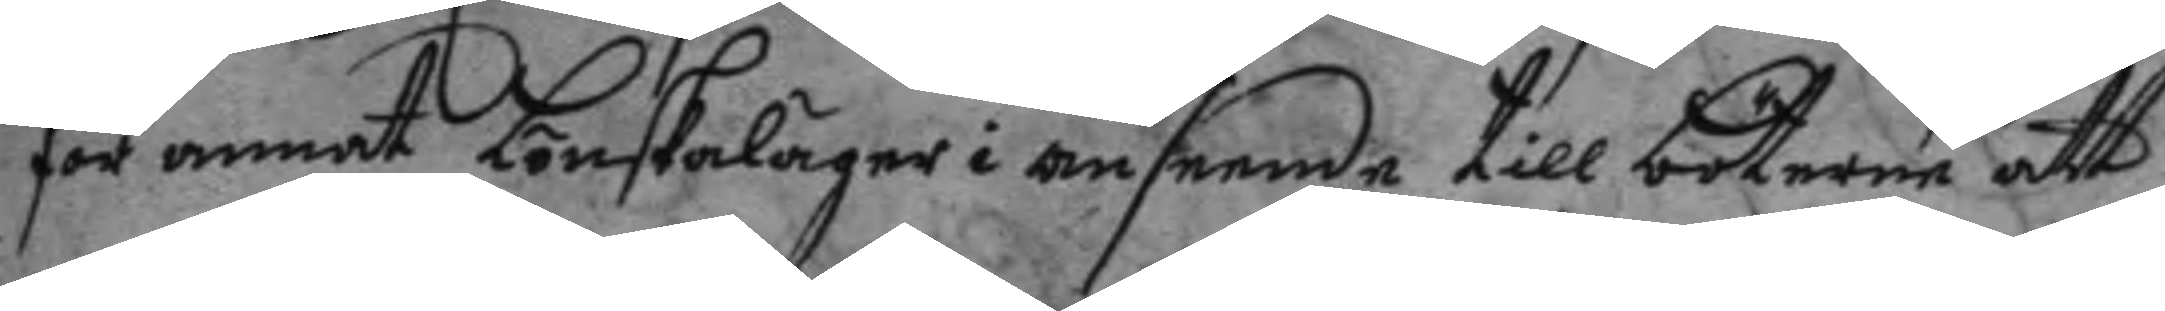för annat Lönsaläger i anseende till böterne att
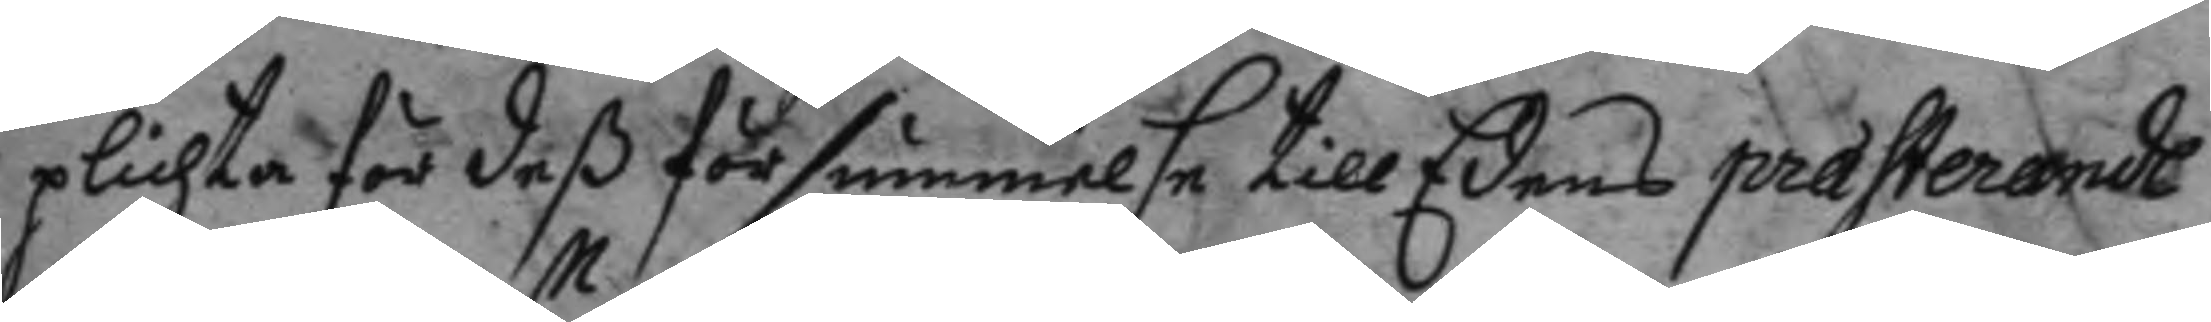plichta för deß försummelse till Edens præsterande
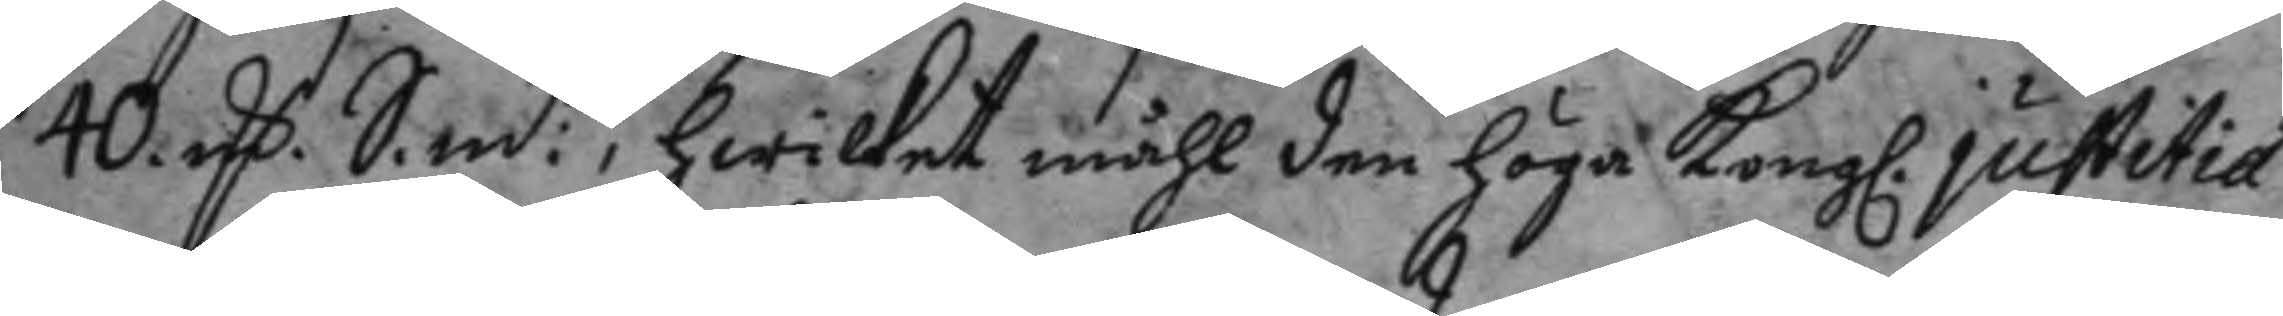40 mC. S.m:t, hwilket måhl den höga Kongl. justitie
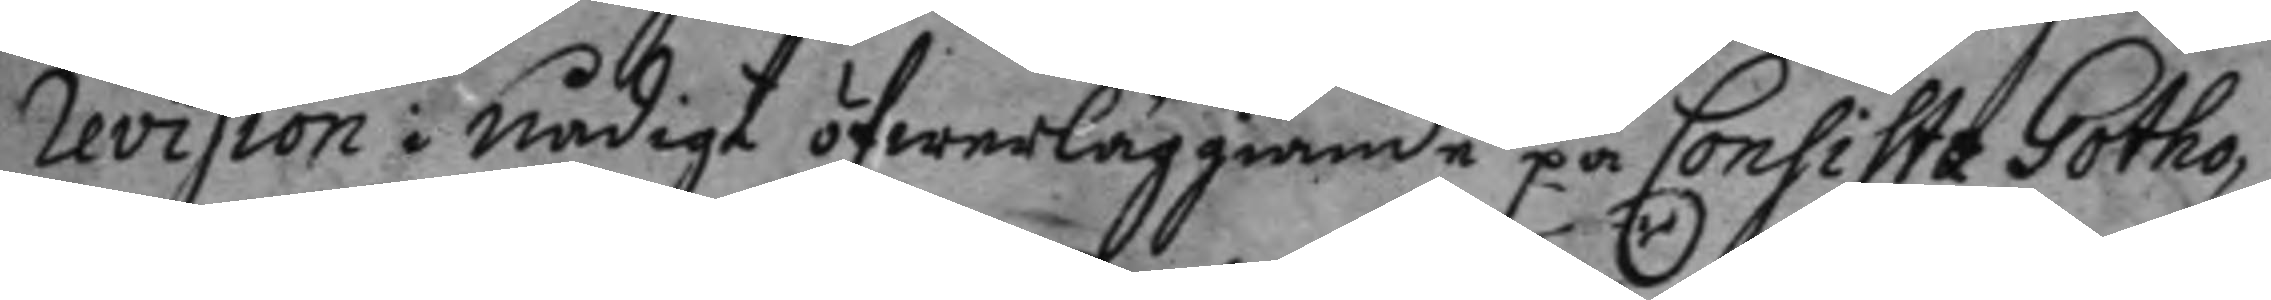Revision i nådigt öfwerläggiande på Consista Gotho¬
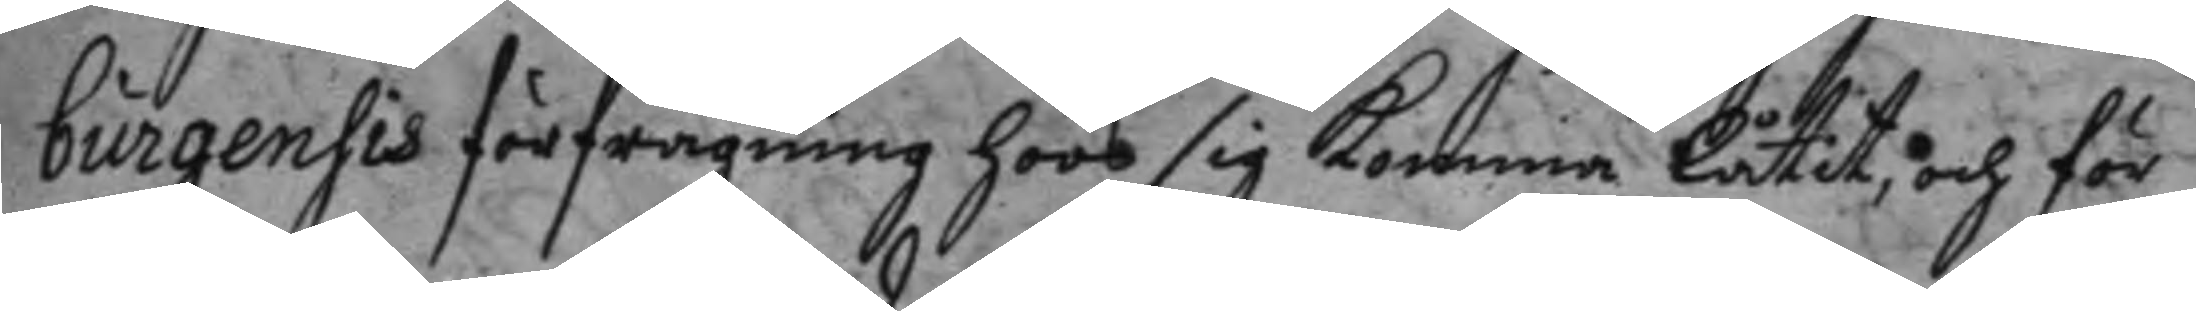burgensis förfrågning hoos sig komma låtit, och för
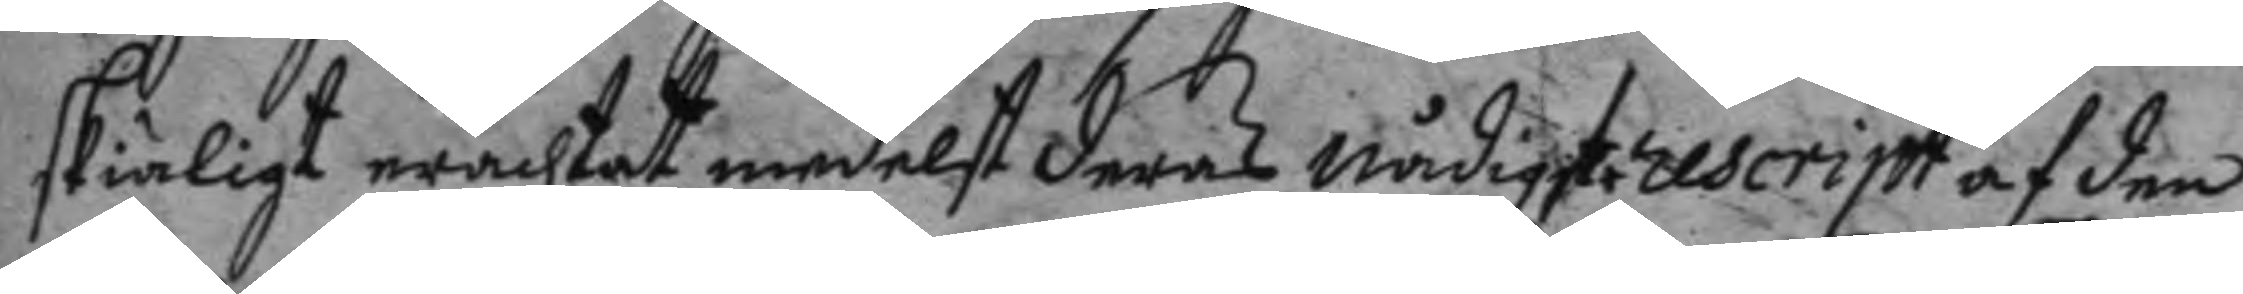skiäligt erachtat medelst deras nådigste rescript af den
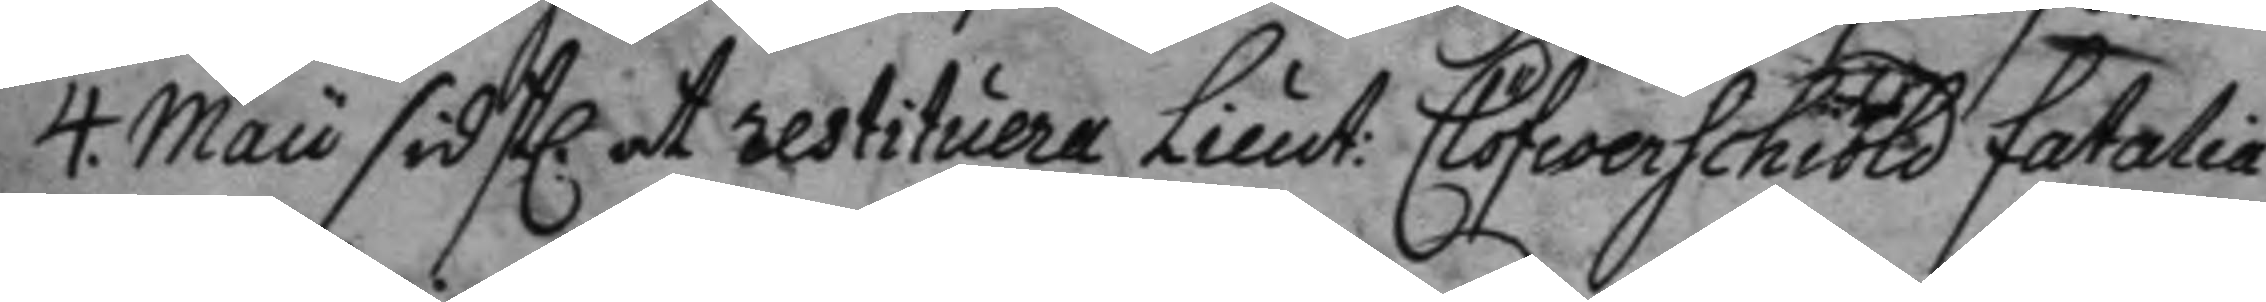4. Maii sidstl. at restituera Lieut: Clöfwerschiöld fatalia
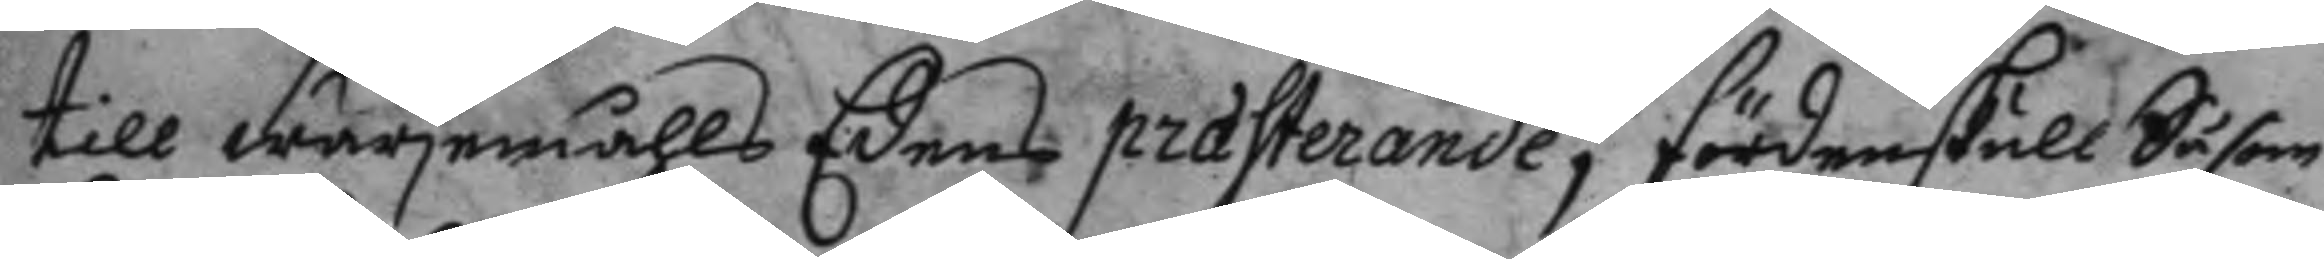till wärjemåhls Edens prasterande; fördenskull Såsom
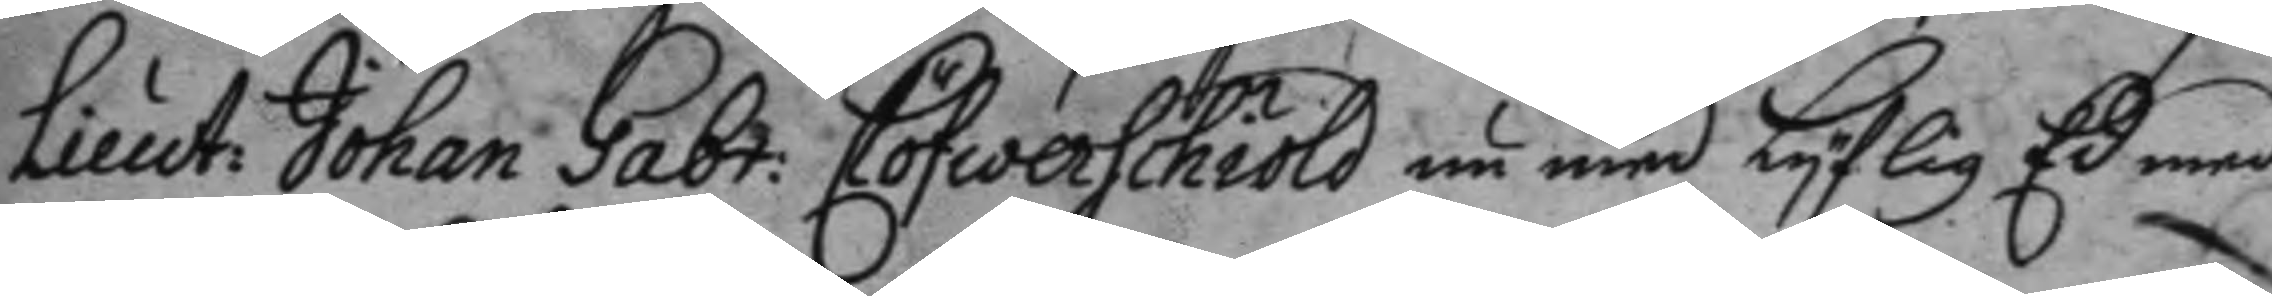Lieut: Johan Gabr: Clöfwerschiöld nu med Lyflig Ed med
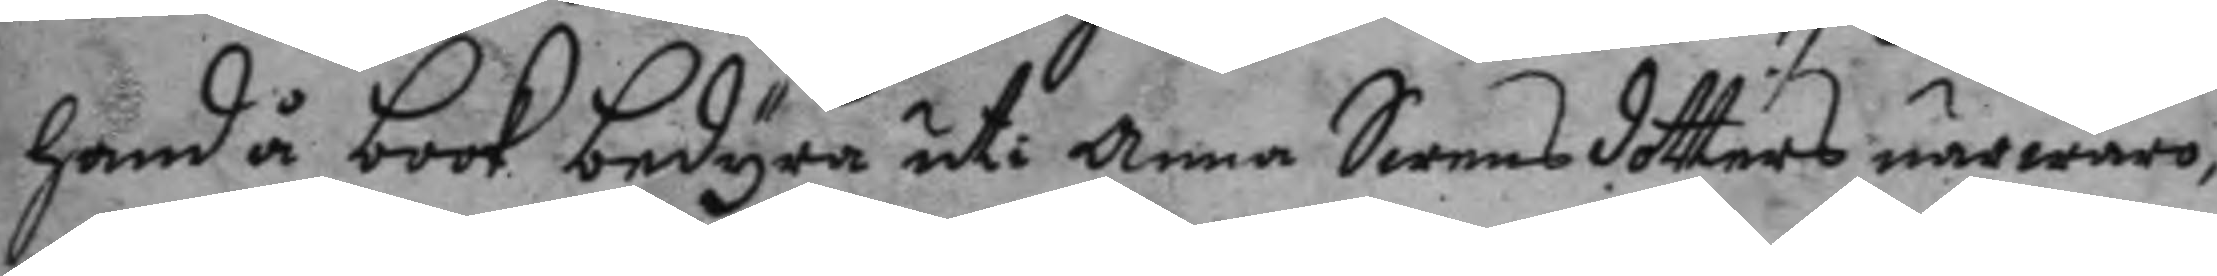hand å book bedyra uti Anna Swensdotters närwaro,
